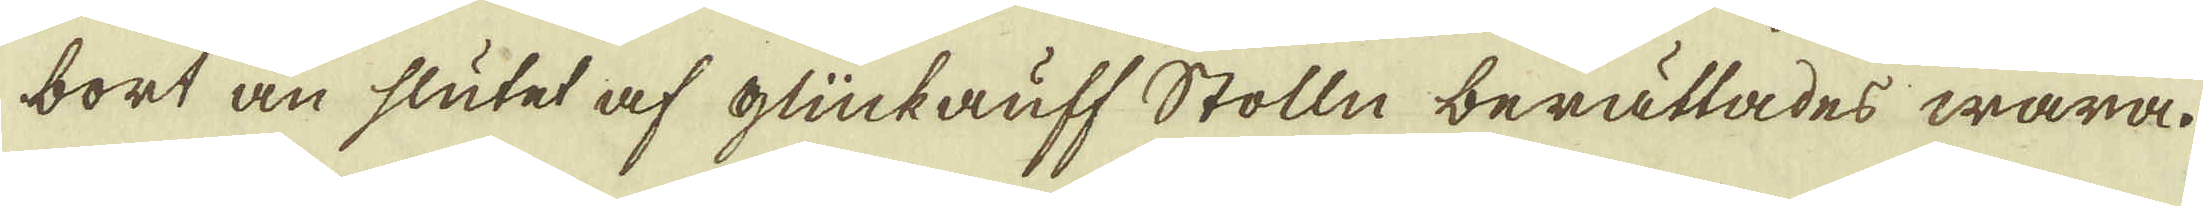bort än slutet af glückauff Stolln berättades wara.
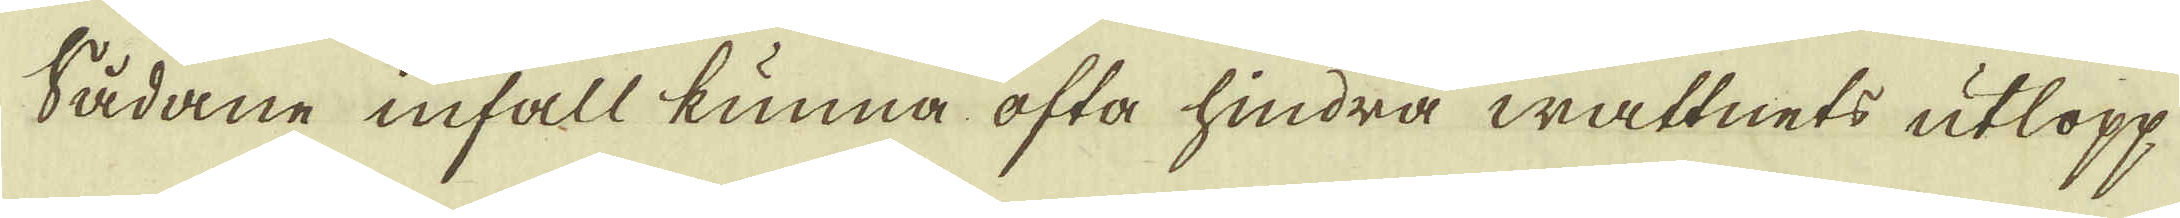Sådane infall kunna ofta hindra wattnets utlopp
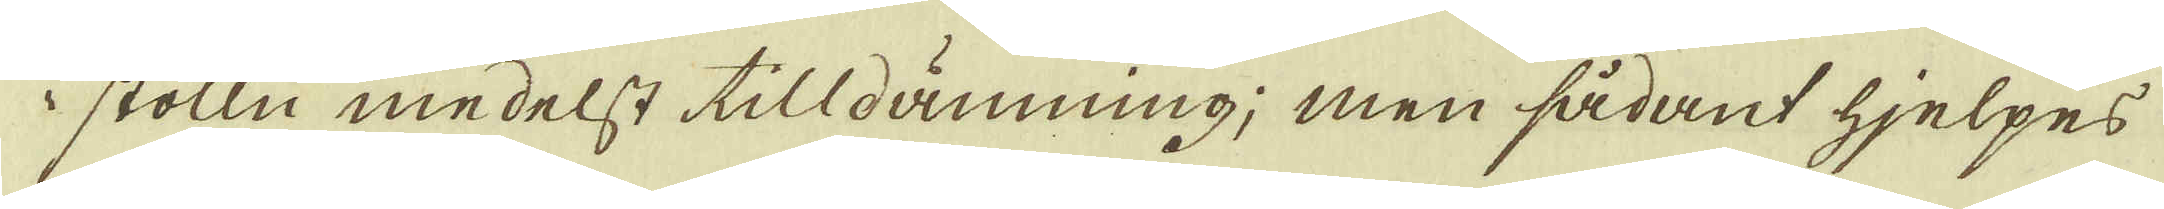i stolln medelst tilldämning; men sådant hjelpes
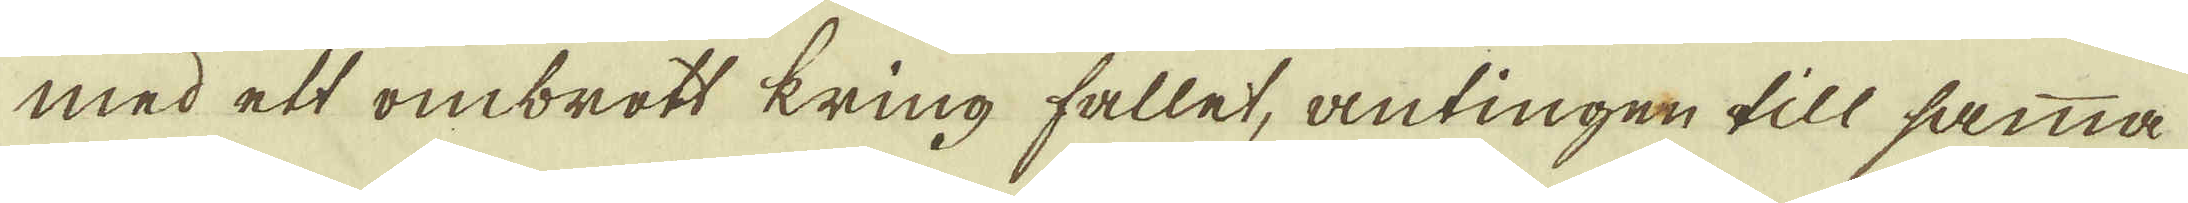med ett ombrott kring fallet, antingen till samma
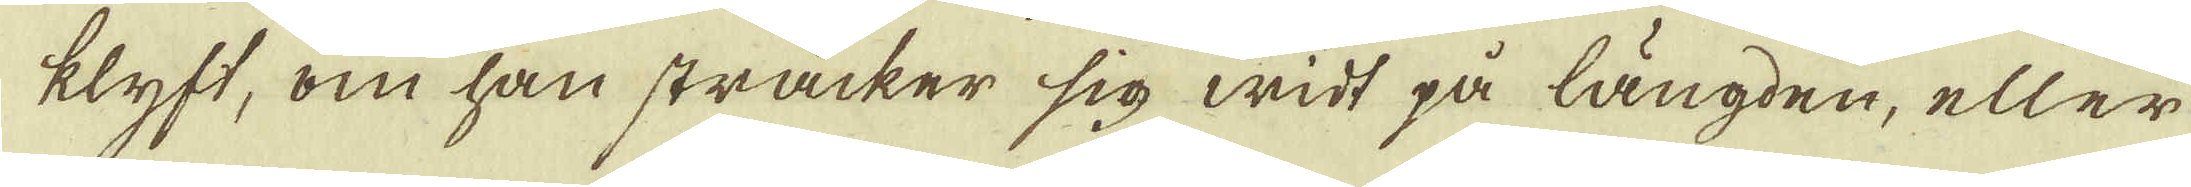klyft, om han sträcker sig widt på längden, eller
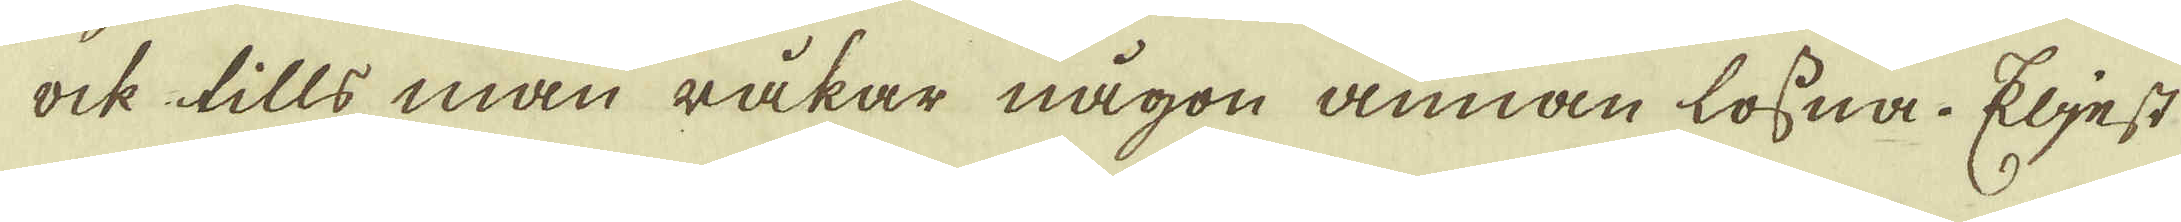ock tills man råkar någon annan lossna. Eljest
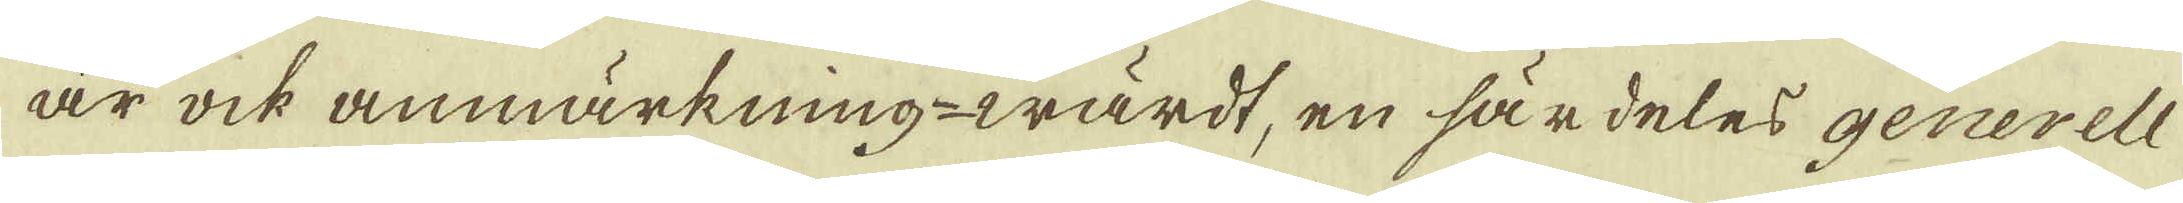är ock anmärkning-wärdt, en särdeles generell
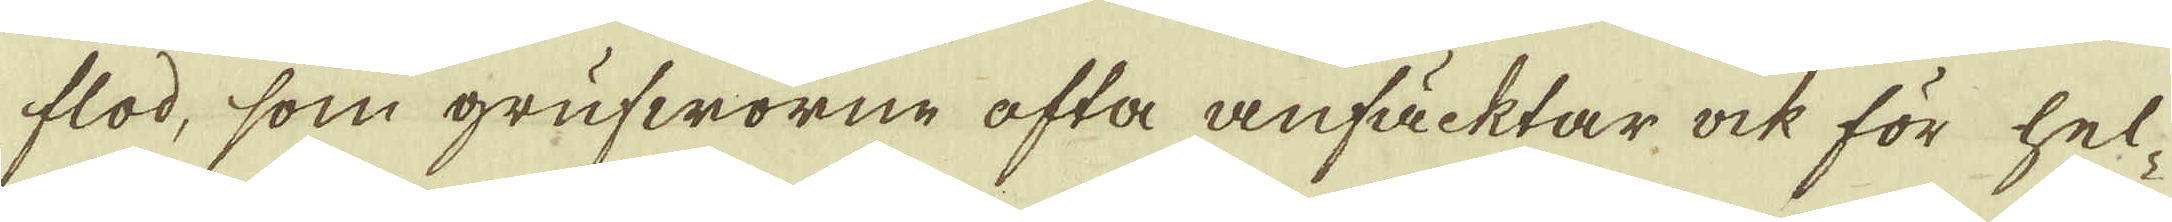flod, som grufworne ofta anfäcktar ock för hel-
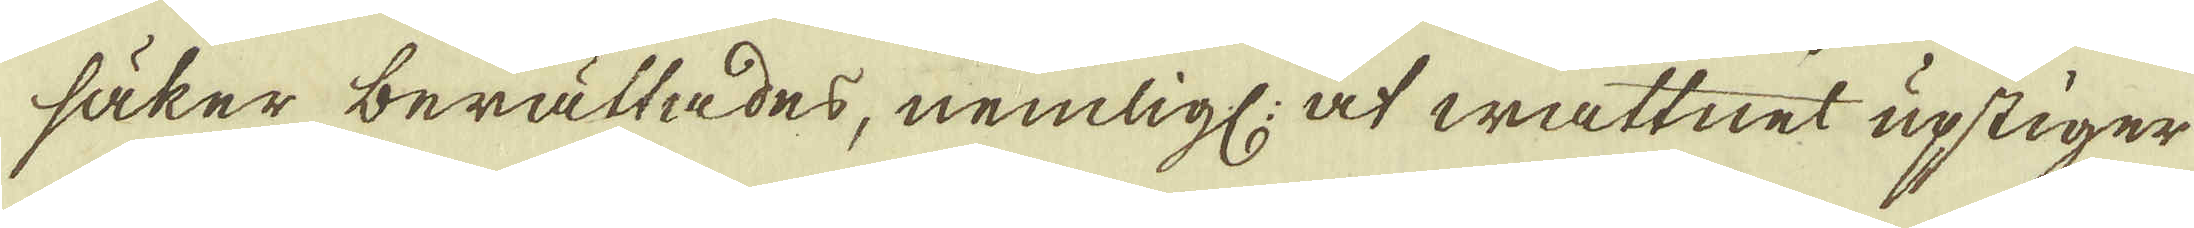säker berättades, nemligl: at wattnet upstiger
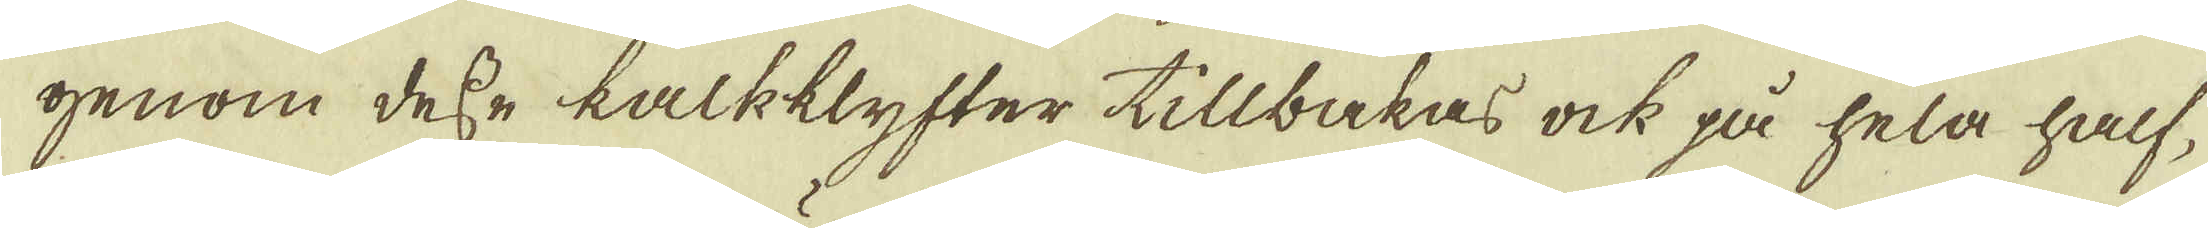genom desse kalkklyfter tillbakas ock på hela half-
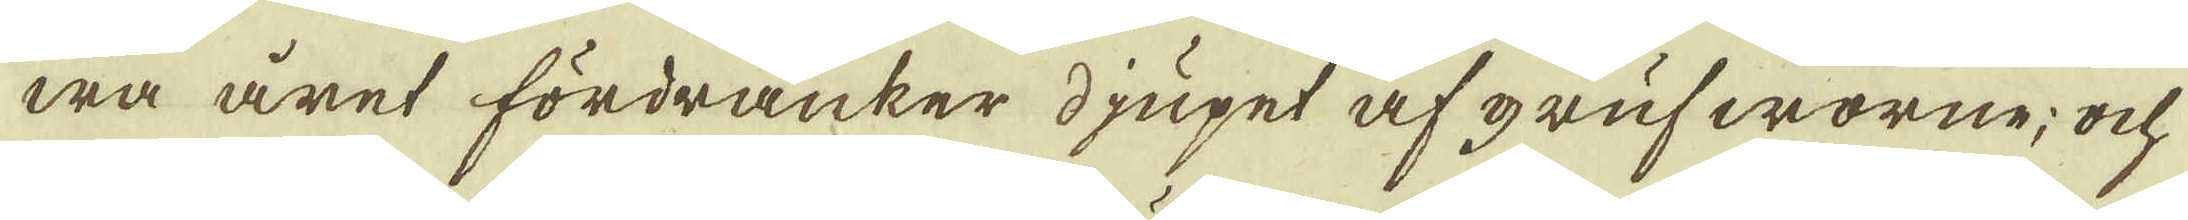wa året fördränker djupet af grufworne; ock
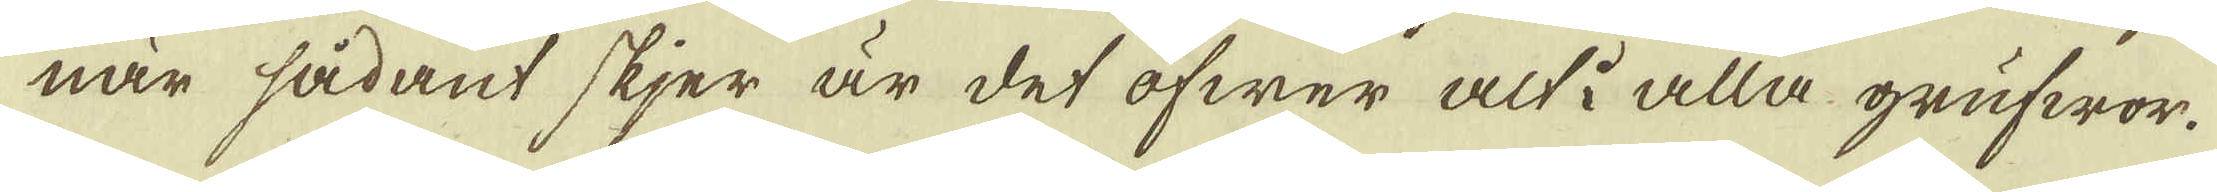när sådant skjer är det öfwer alt i alla grufwor.
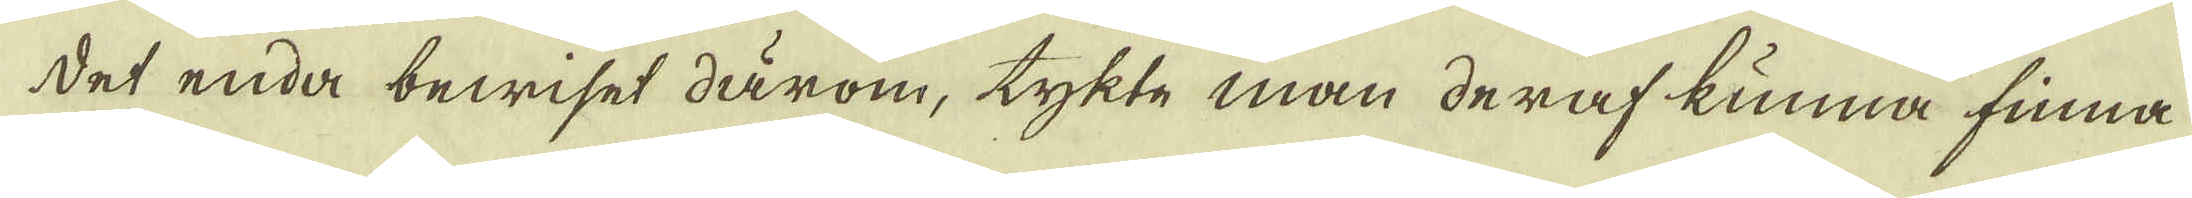Det enda bewiset därom, tykte man deraf kunna finna
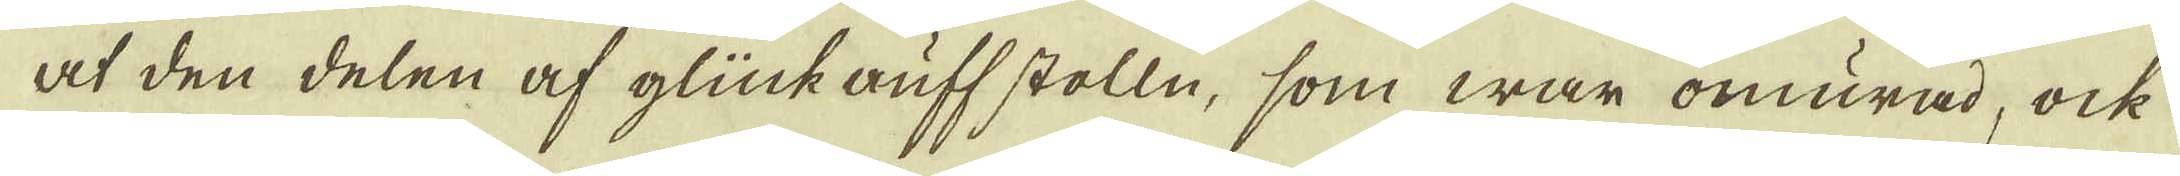at den delen af glückauff stolln, som war omurad, ock
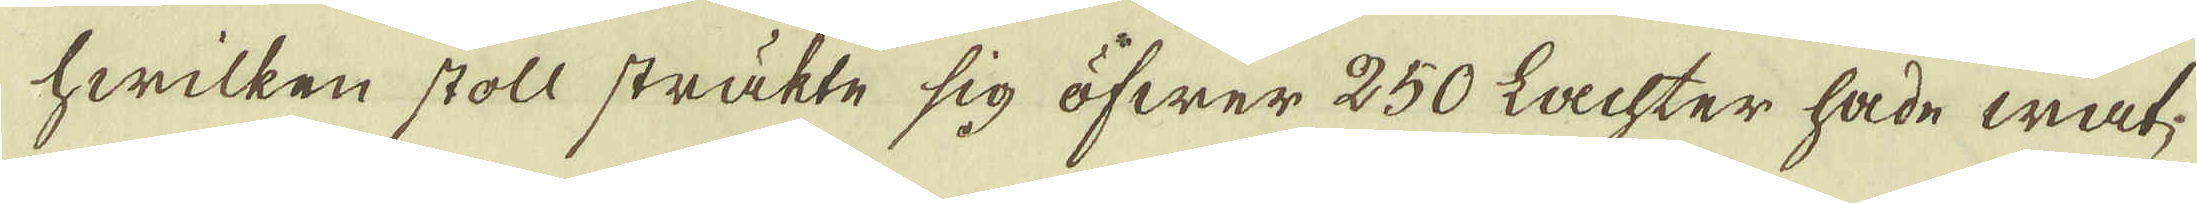hwilken stoll sträkte sig öfwer 250 Lachter hade wat-
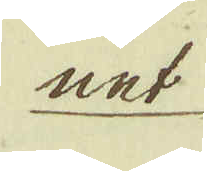net
